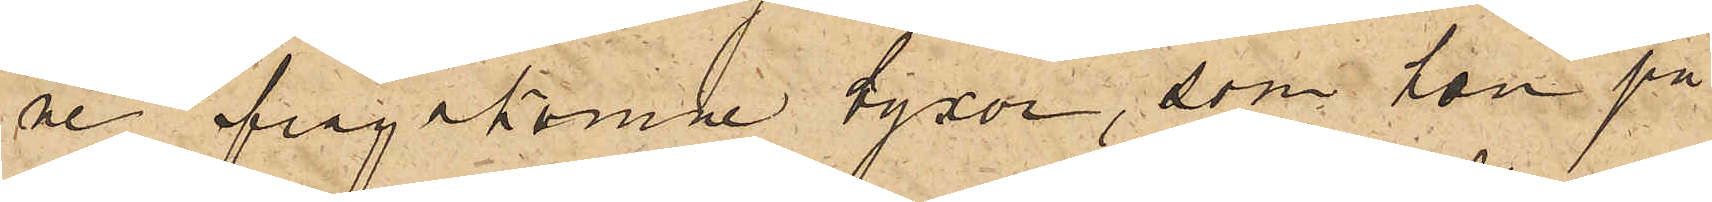ne frågakomne byxor, som hon på
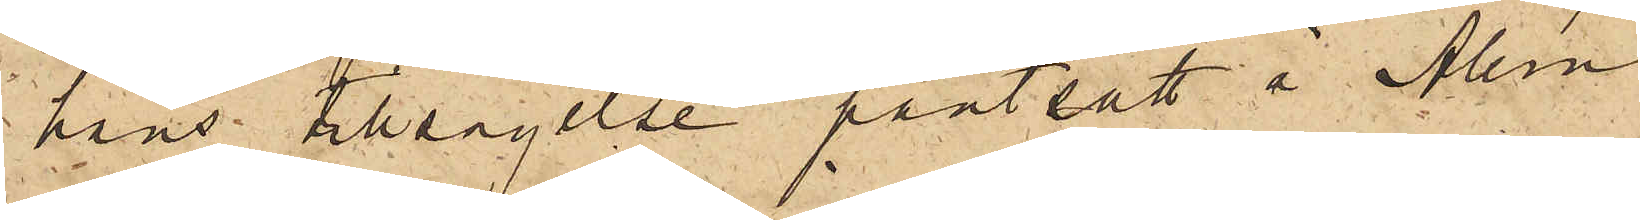hans tillsägelse pantsatt å Allm
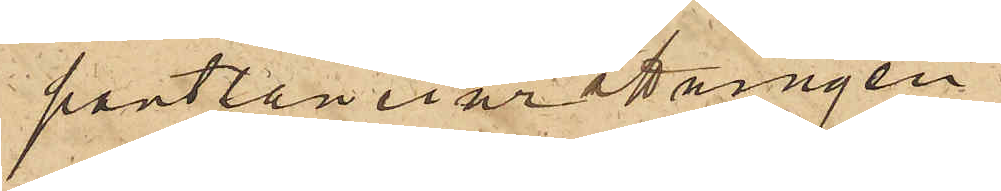pantlåneinrättningen.
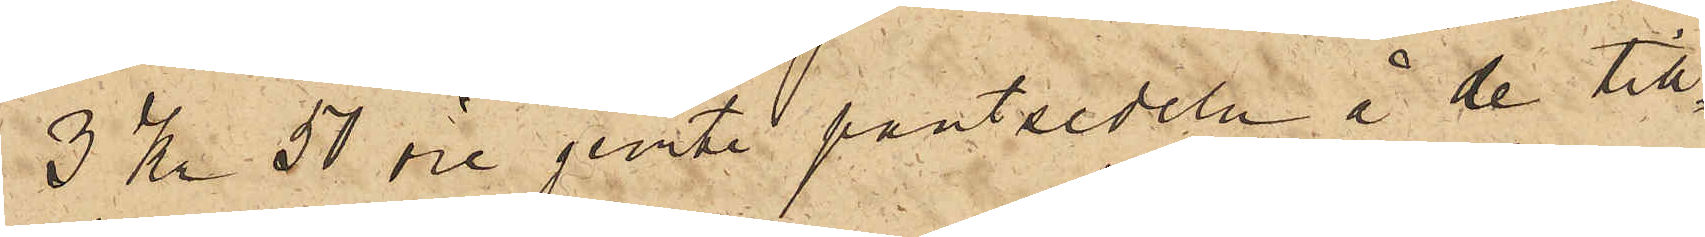3 Kr 50 öre jemte pantsedeln å de till¬
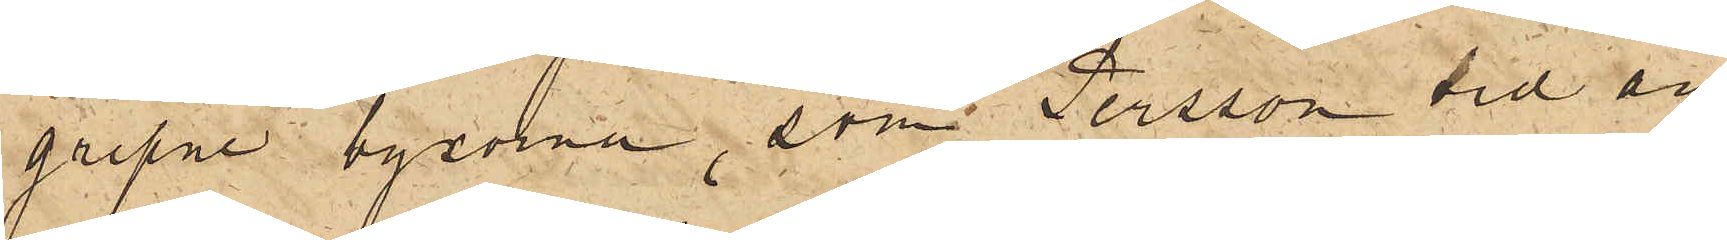gripne byxor, som Persson vid an¬
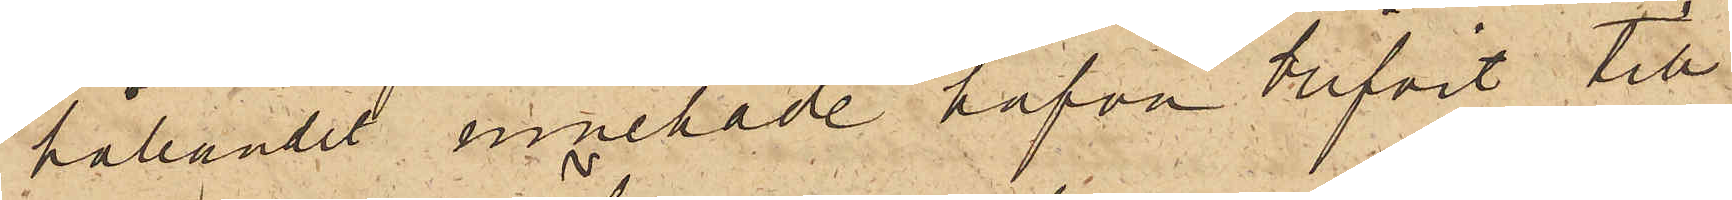hållandet innehade hafva blifvit till
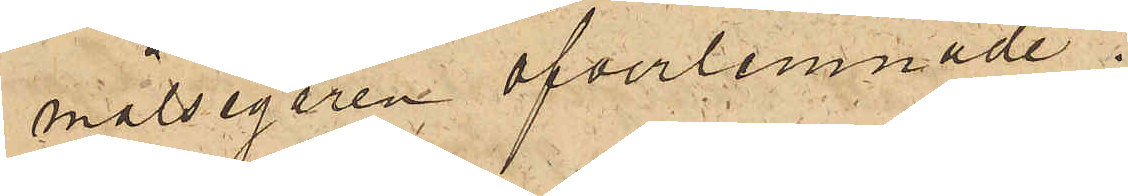målsegaren öfverlemnade.
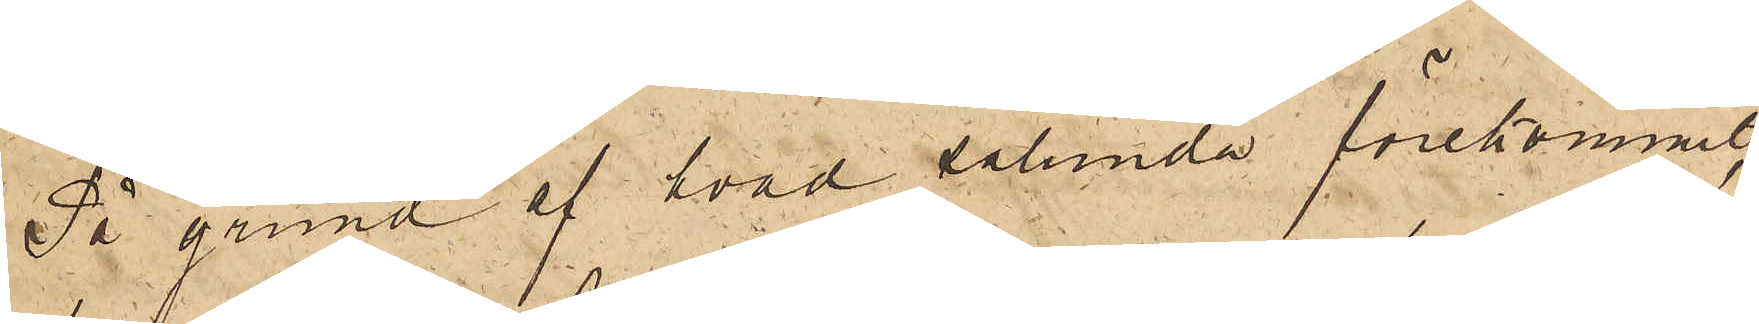På grund af hvad sålunda förekommit,
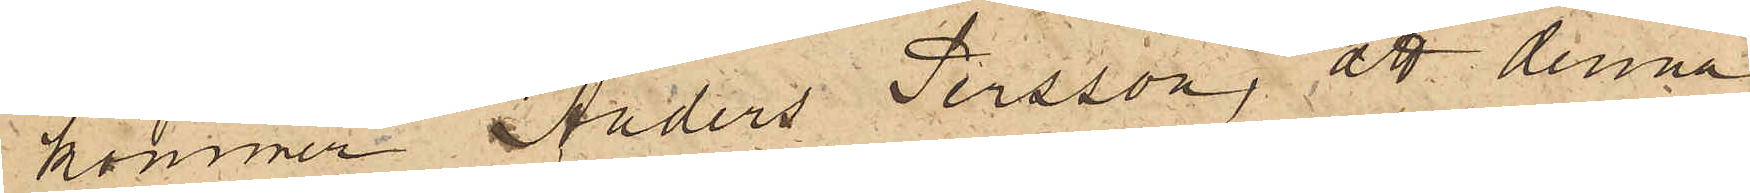kommer Anders Persson, att denna
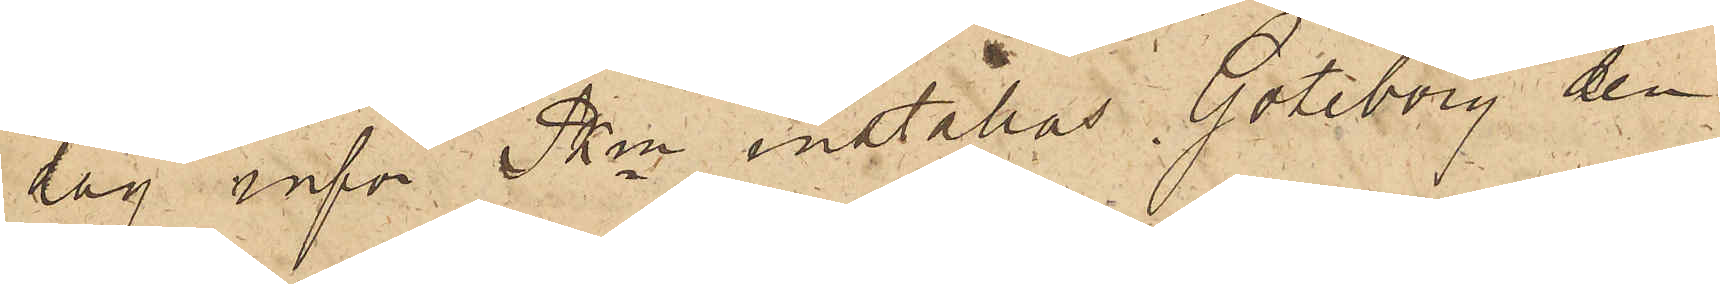dag inför Pkn inställas. Göteborg den
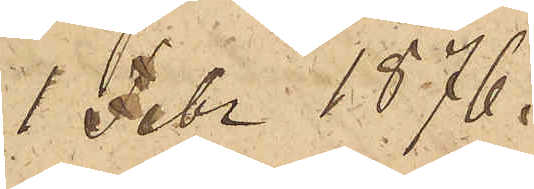1 Febr. 1876.
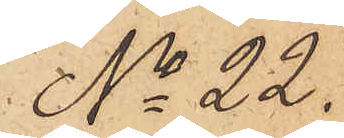No 22.
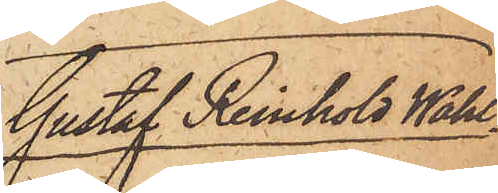Gustaf Reinhold Wahl¬
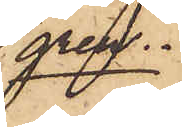gren.
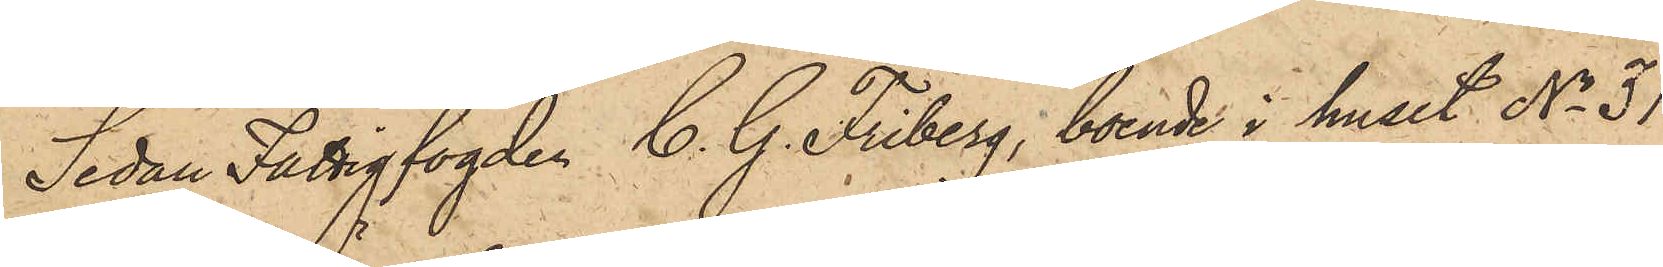Sedan Fattigfogden C. G. Friberg, boende i huset No 31
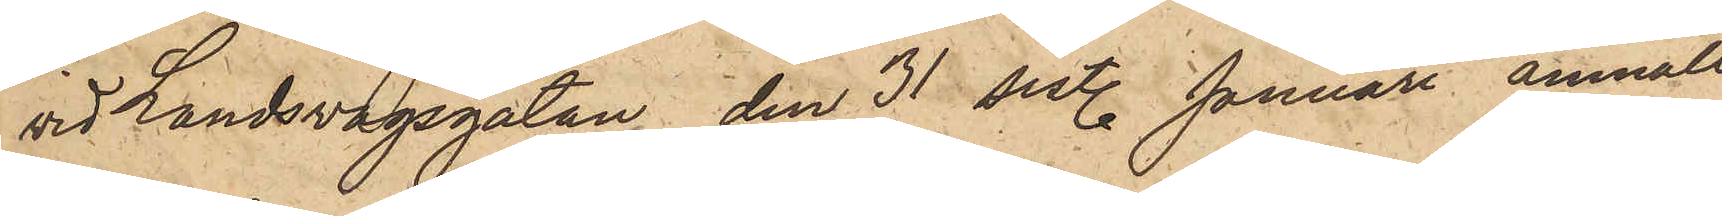vid Landsvägsgatan, den 31 sist. Januari anmält
